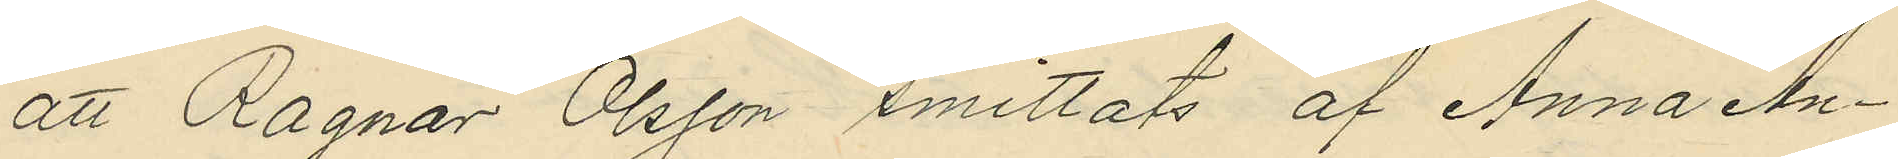att Ragnar Olsson smittats af Anna An¬
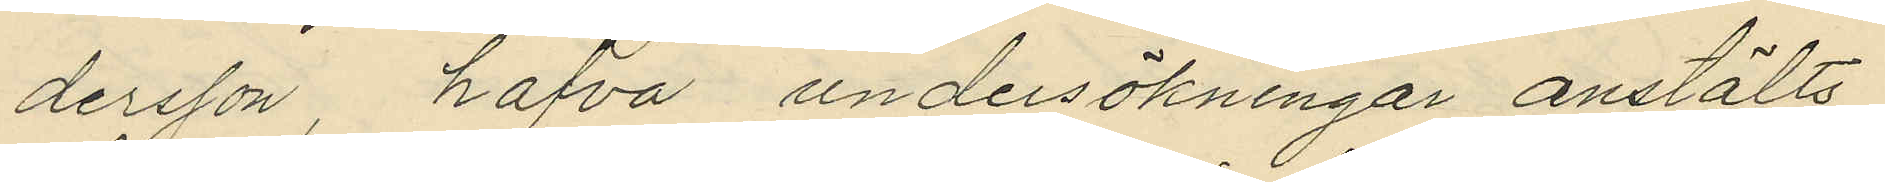dersson, hafva undersökningar anstälts
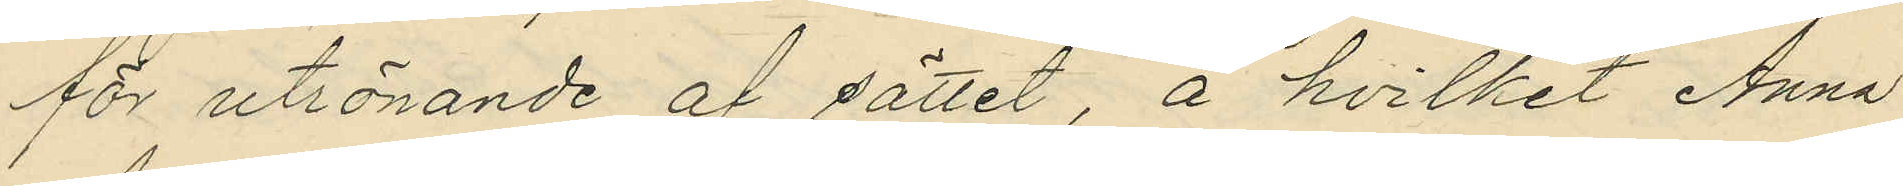för utrönande af sättet, å hvilket Anna
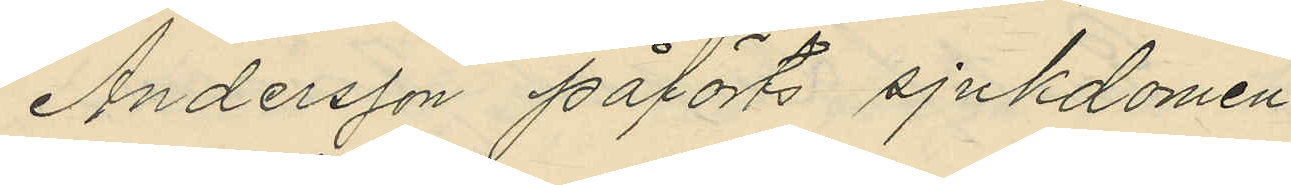Andersson påförts sjukdomen.
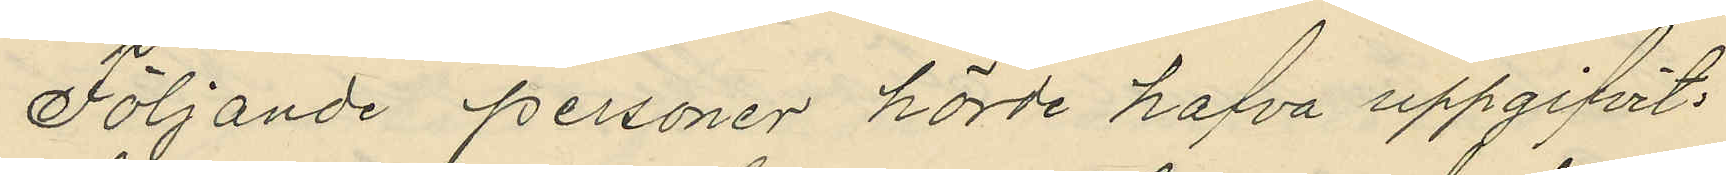Följande personer hörde hafva uppgifvit:
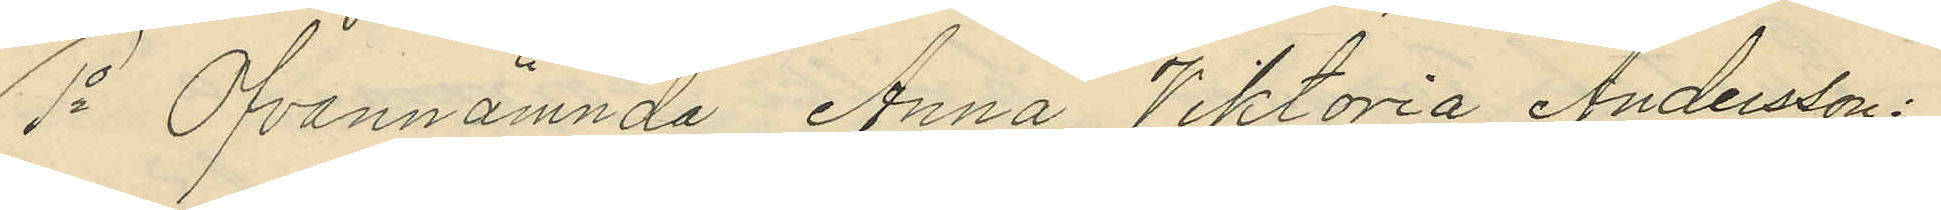1o Ovannamnda Anna Viktoria Andersson:
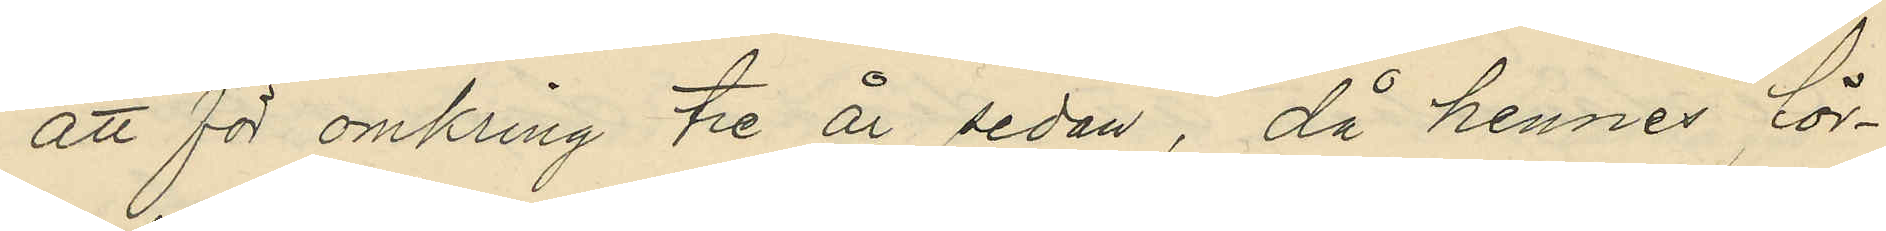att för omkring tre år sedan, då hennes för¬
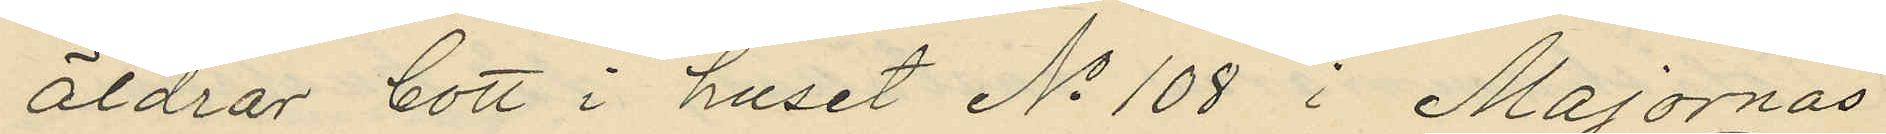äldrar bott i huset No 108 i Majornas
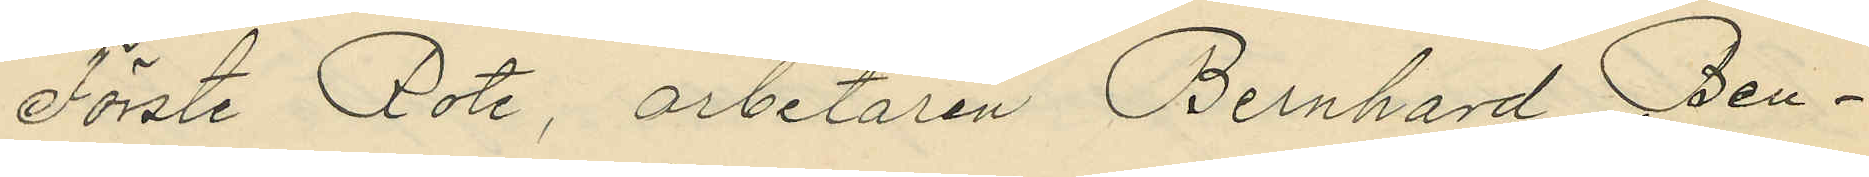Förste Rote, arbetaren Bernhard Ben¬
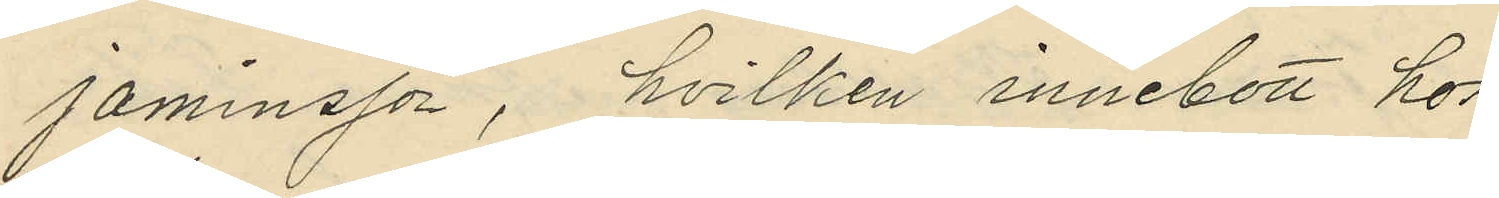jaminsson, hvilken innebott hos
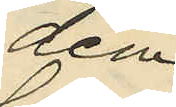dem
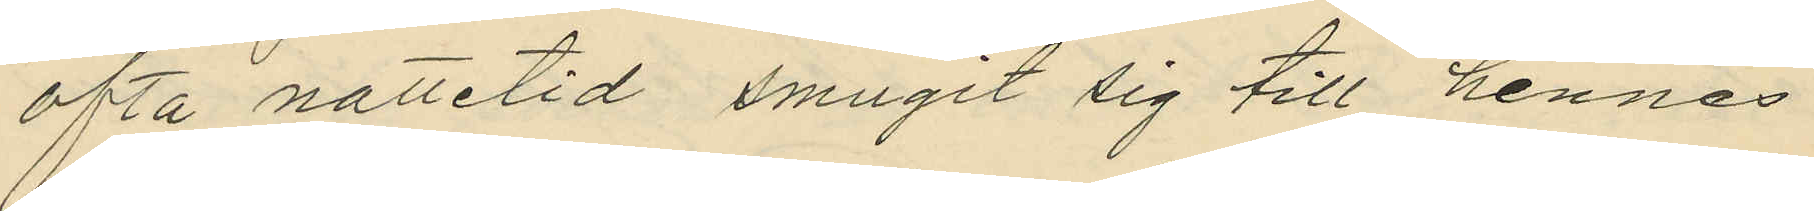ofta nattetid smugit sig till hennes
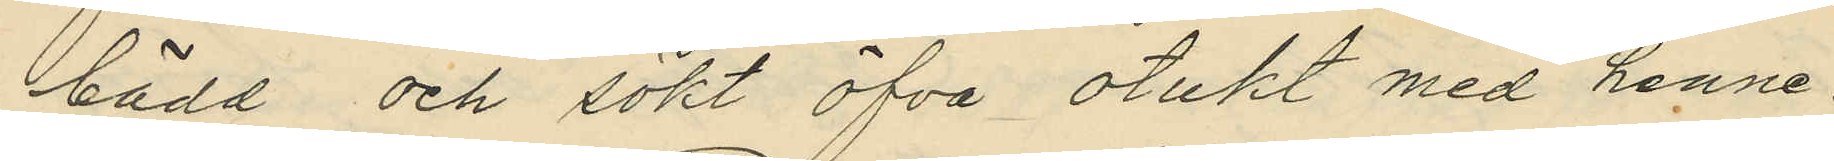bädd och sökt öfva otukt med henne;
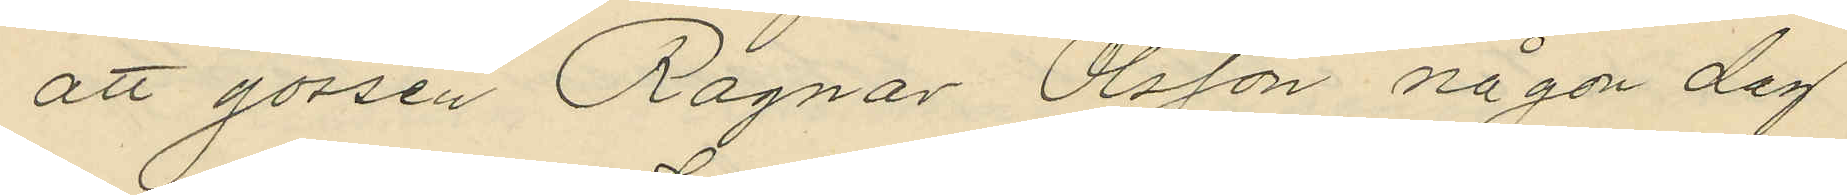att gossen Ragnar Olsson någon dag
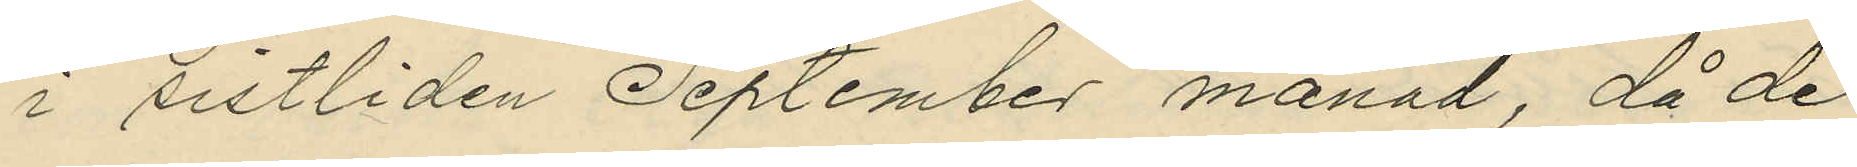i sistliden September månad, då de
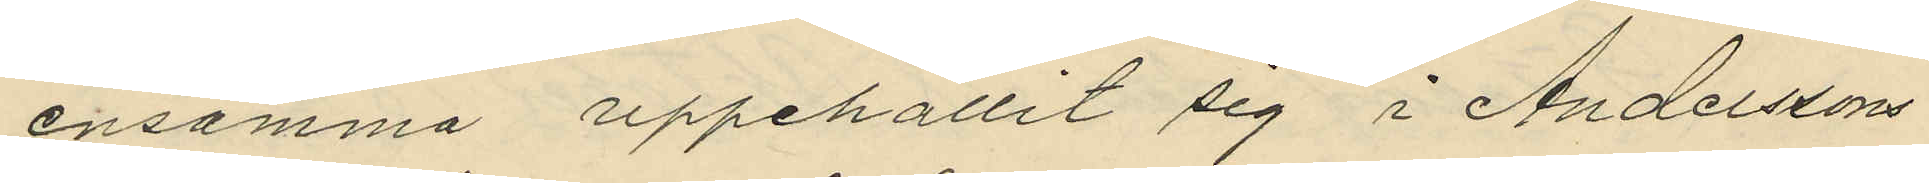ensamma uppehållit sig i Anderssons
